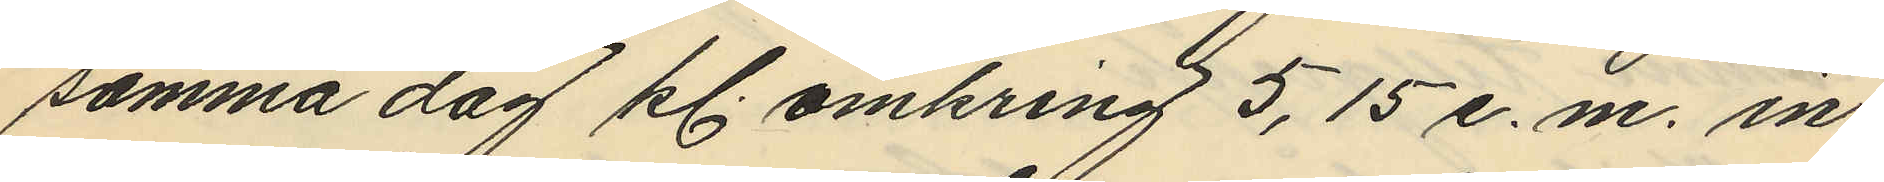samma dag kl. omkring 5,15 e.m. in¬
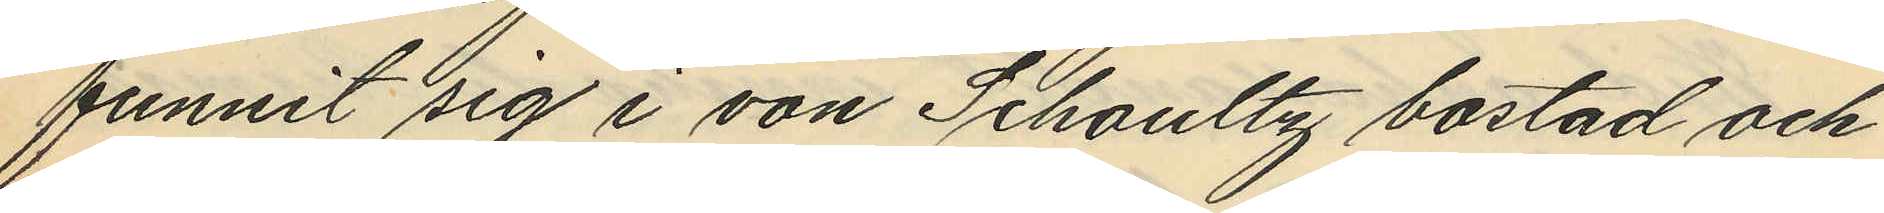funnit sig i von Schoultz bostad och
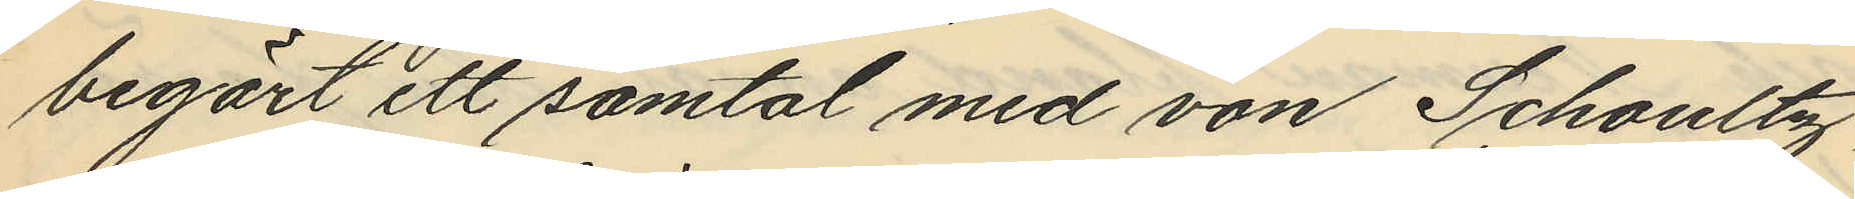begärt ett samtal med von Schoultz,
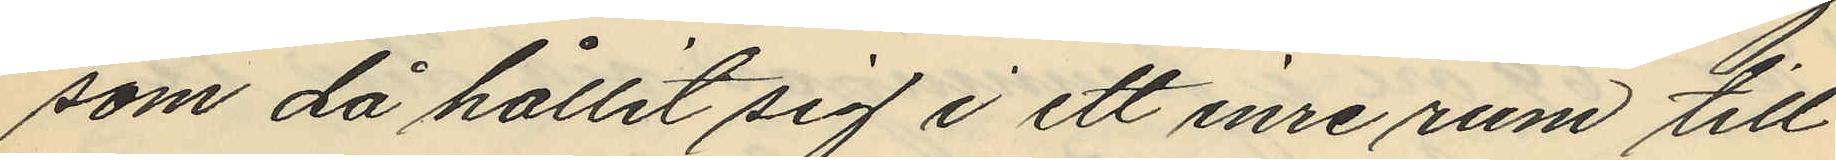som då hållit sig i ett inre rum till
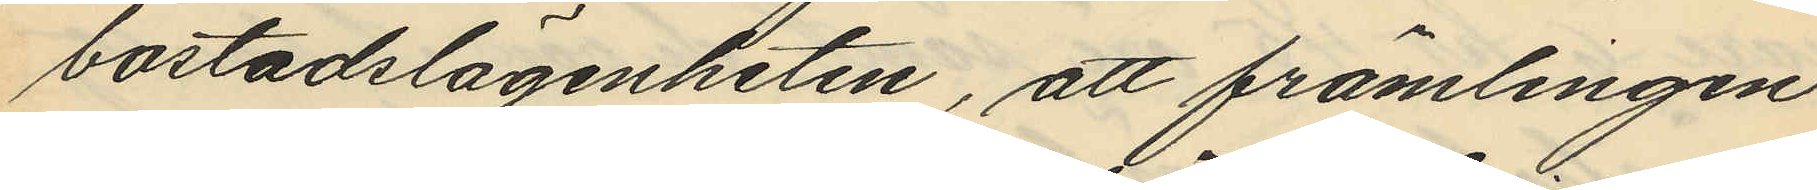bostadslägenheten, att främlingen
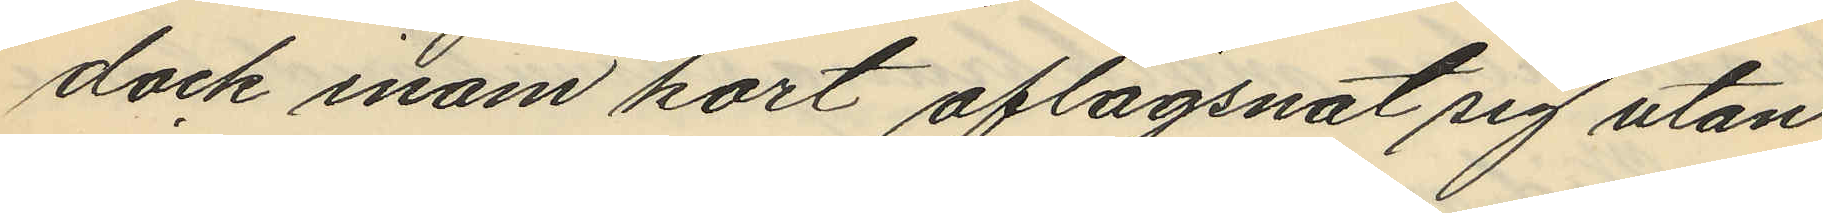dock inom kort aflägsnat sig utan
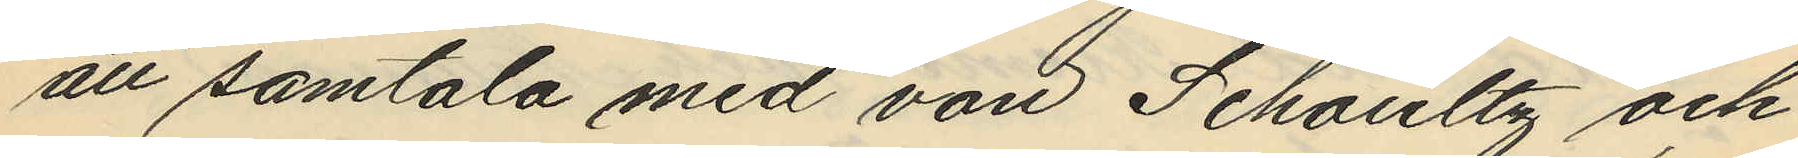att samtala med von Schoultz och
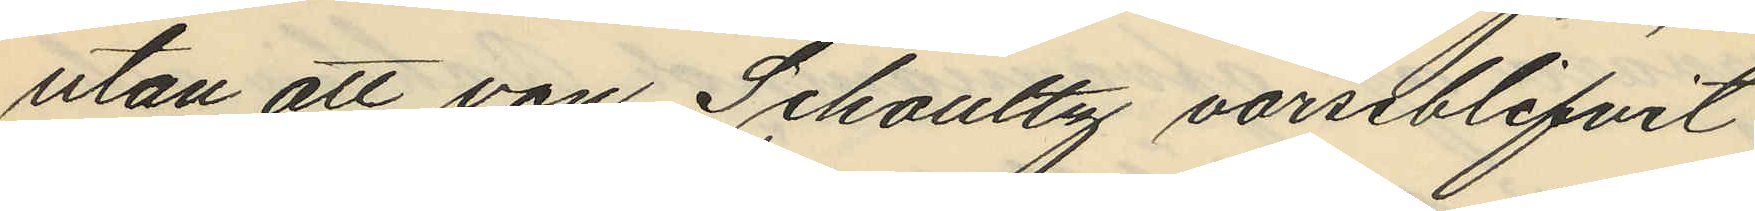utan att von Schoultz varseblifvit
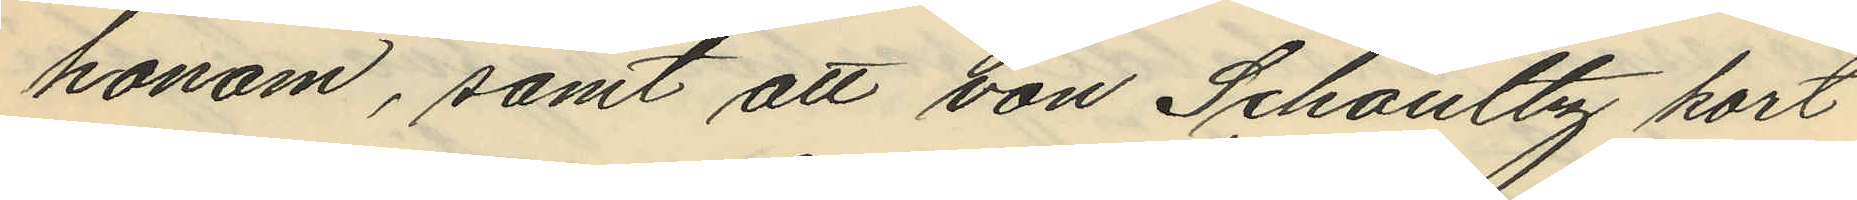honom, samt att von Schoultz kort
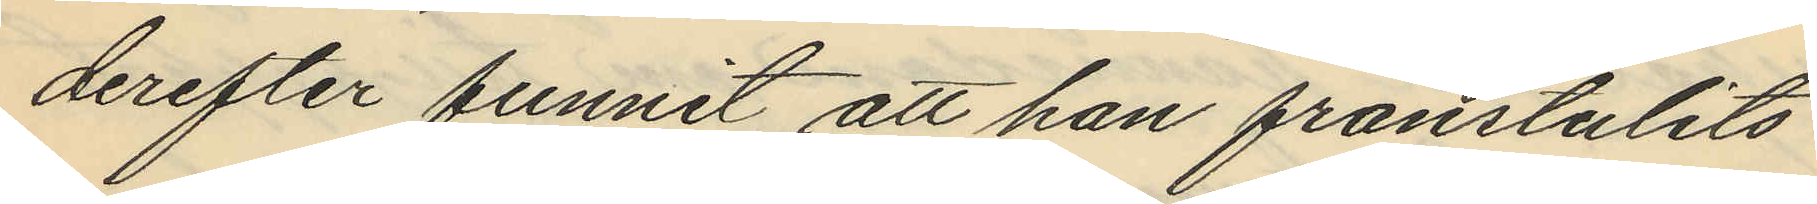derefter funnit att han frånstulits
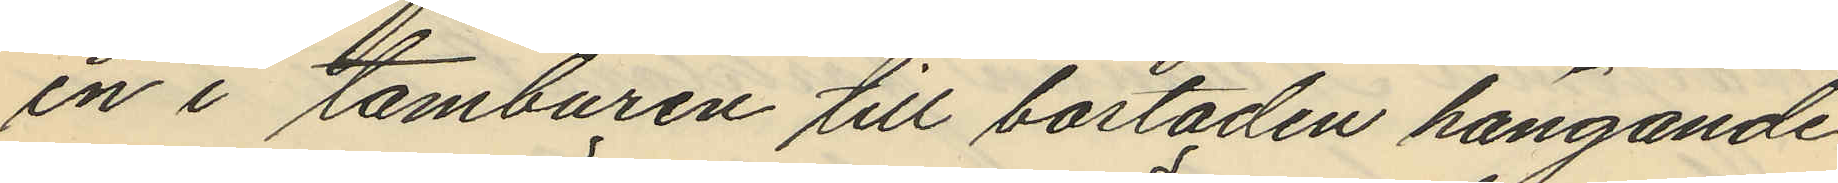en i tamburen till bostaden hängande
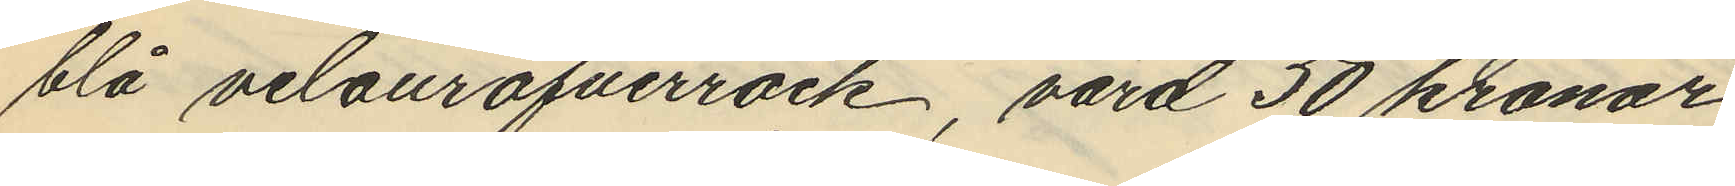blå velouröfverrock, värd 50 kronor
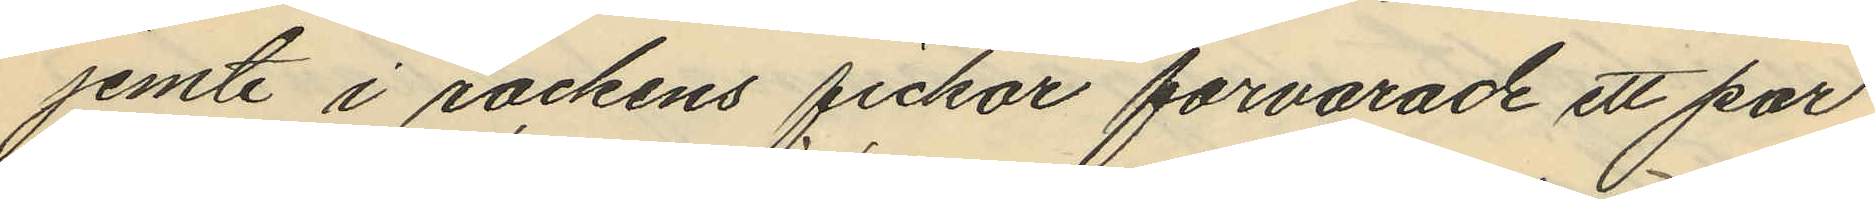jemte i rockens fickor forvarade ett par
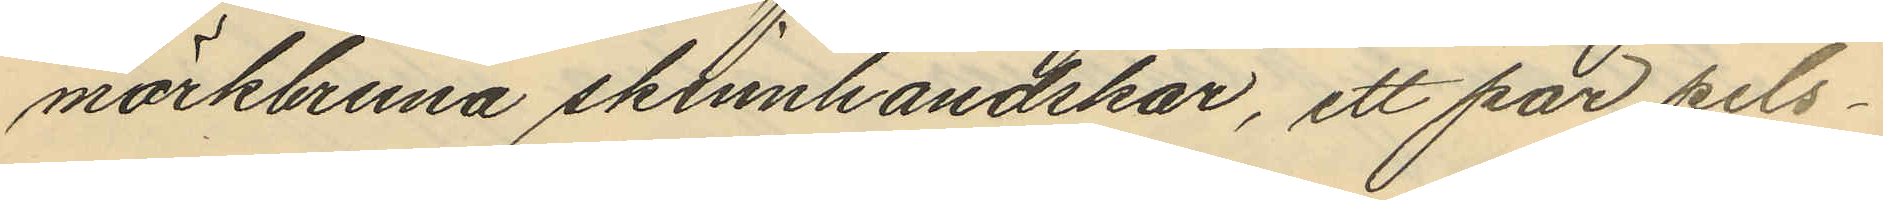mörkbruna skinnhandskar, ett par pels¬
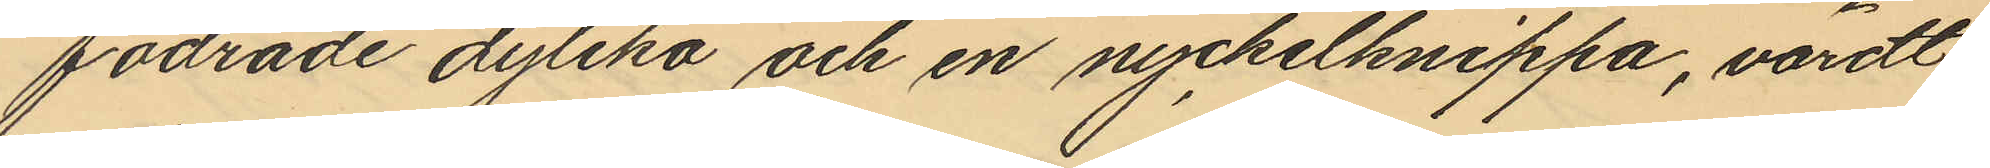fodrade dylika och en nyckelknippa, värdt
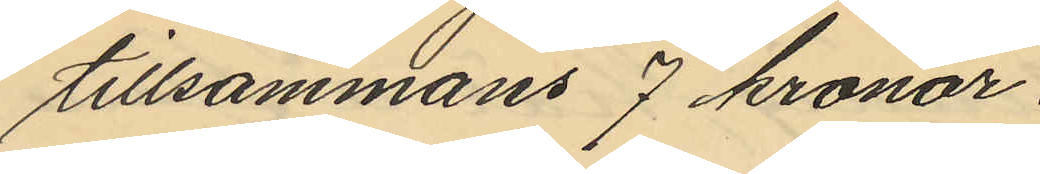tillsammans 7 kronor.
